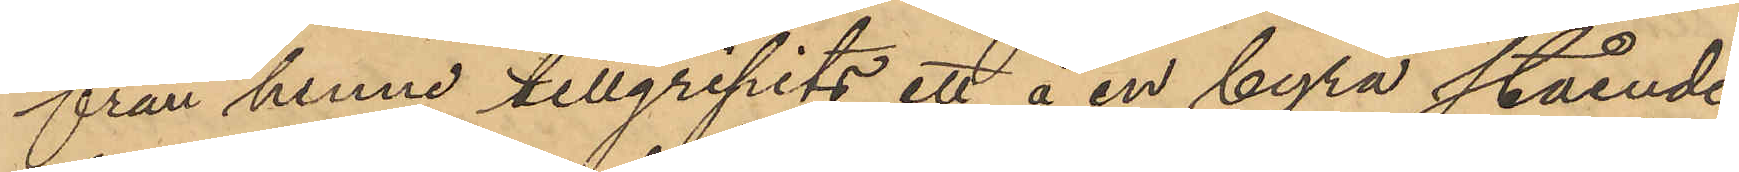från henne tillgripits ett å en byrå stående
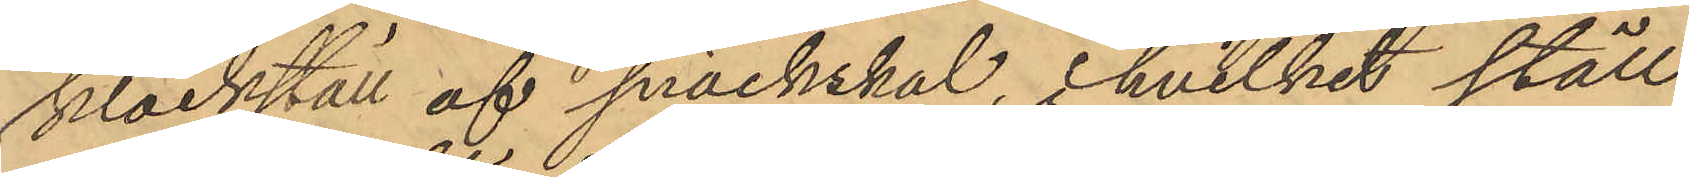klockställ af snäckskal, i hvilket ställ
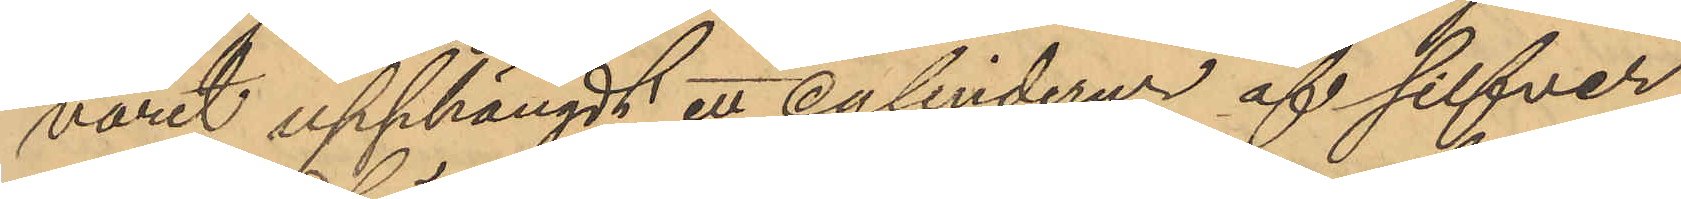varit upphängdt ett cylinderur af silfver
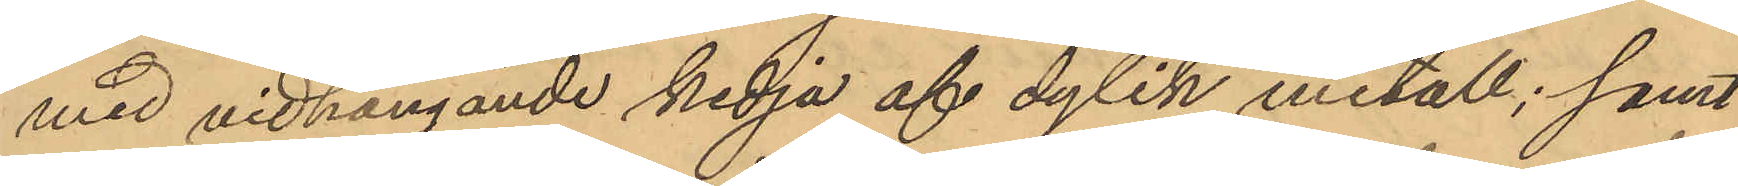med vidhängande kedja af dylik metall; samt
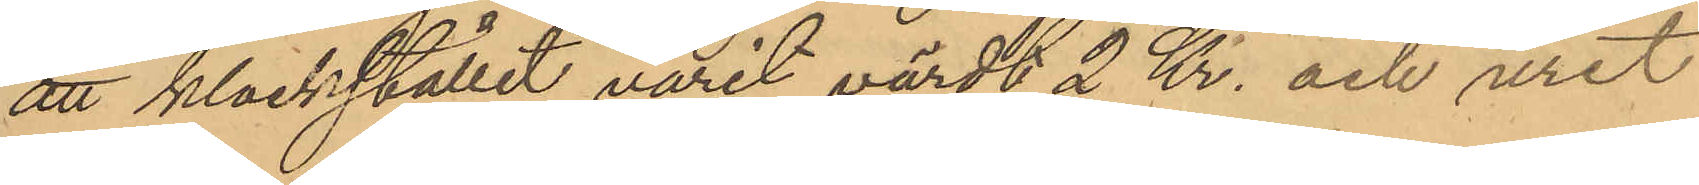att klockstället varit värdt 2 Kr. och uret
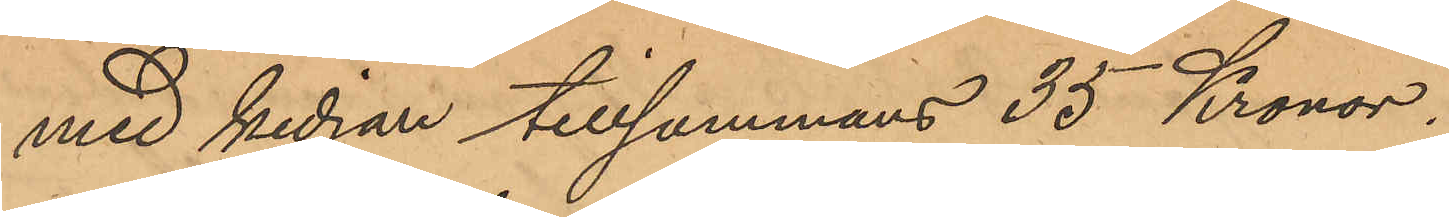med kedjan tillsammans 35 Kronor.
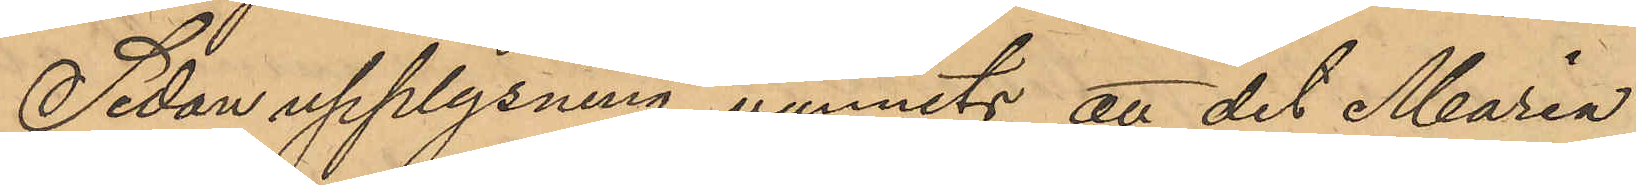Sedan upplysning vunnits att det Maria
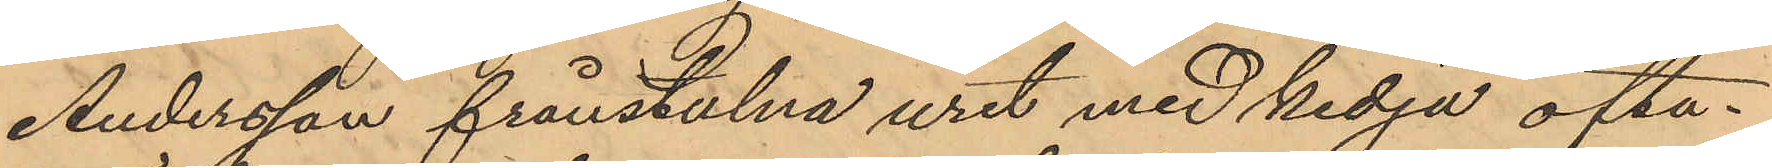Andersson frånstulna uret med kedja ofta¬
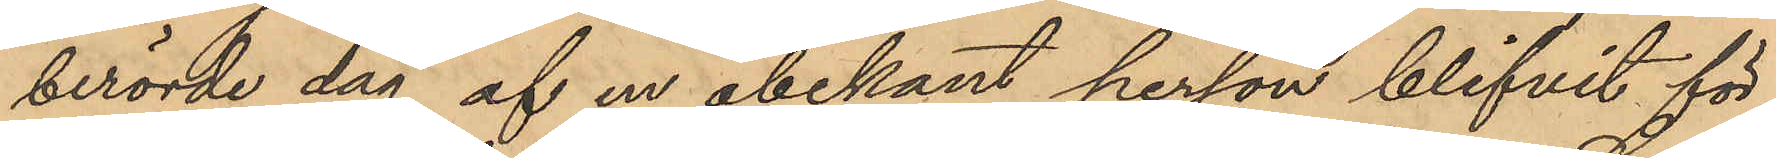berörde dag af en obekant person blifvit för¬
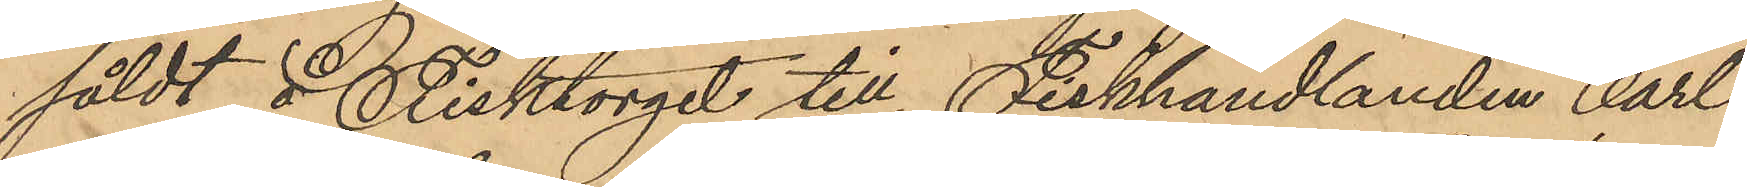såldt å Fisktorget till Fiskhandlanden Carl
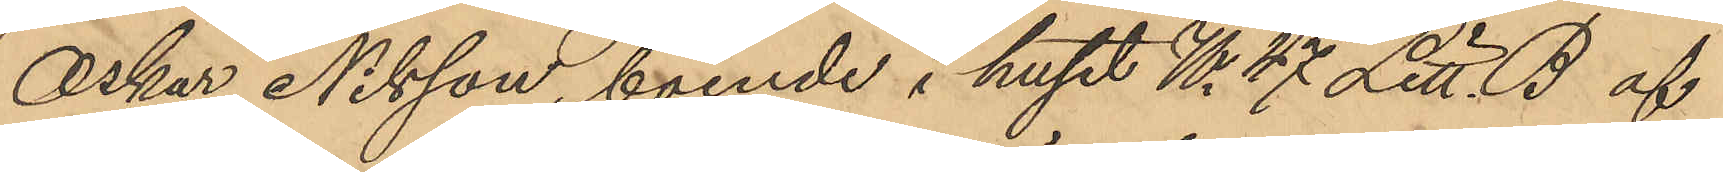Oskar Nilsson, boende i huset No 47 Litt. B af
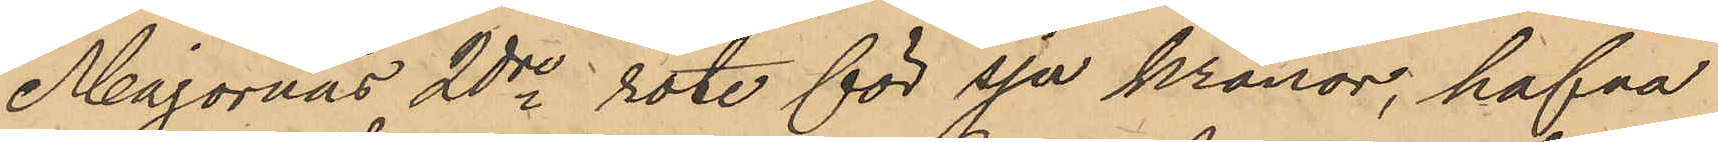Majornas 2dre rote för sju kronor, hafva
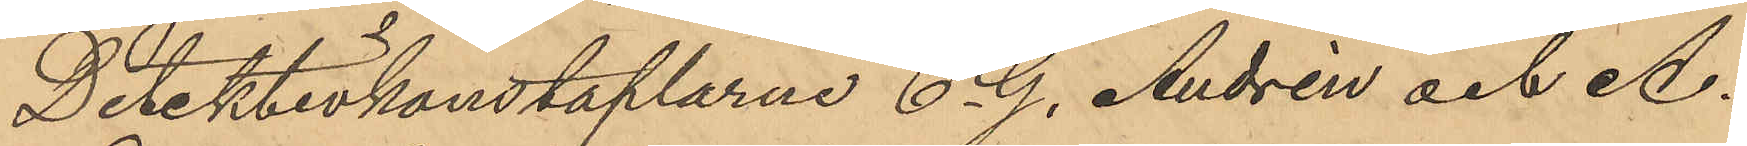Detektivkonstaplarne C. G. Andrén och A.
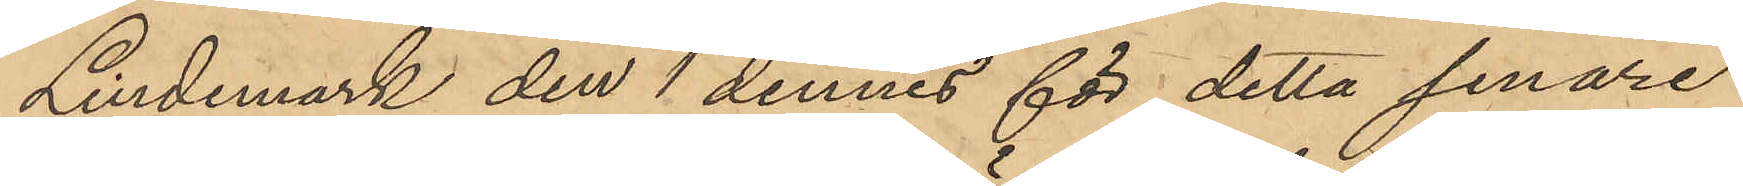Lindemark den 1 dennes för detta senare
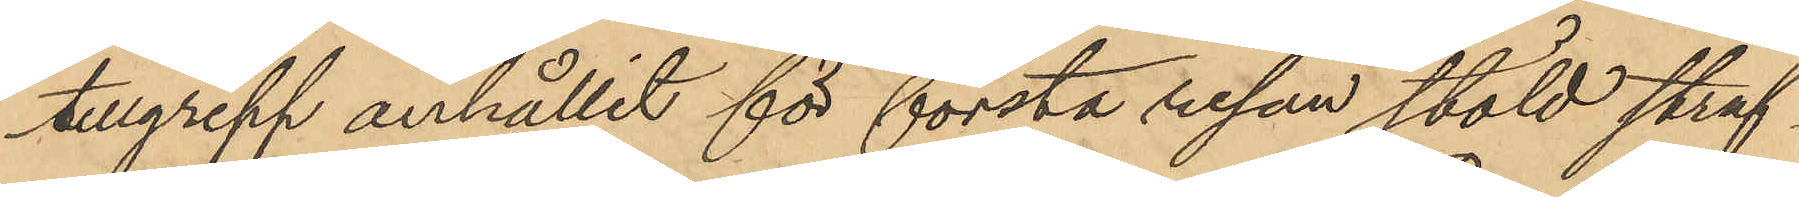tillgrepp anhållit för första resan stöld straf¬
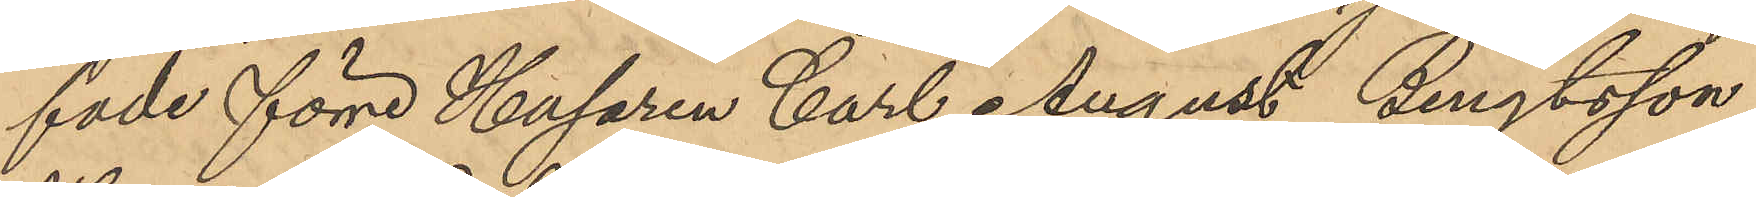fade förre Husaren Carl August Bengtsson
